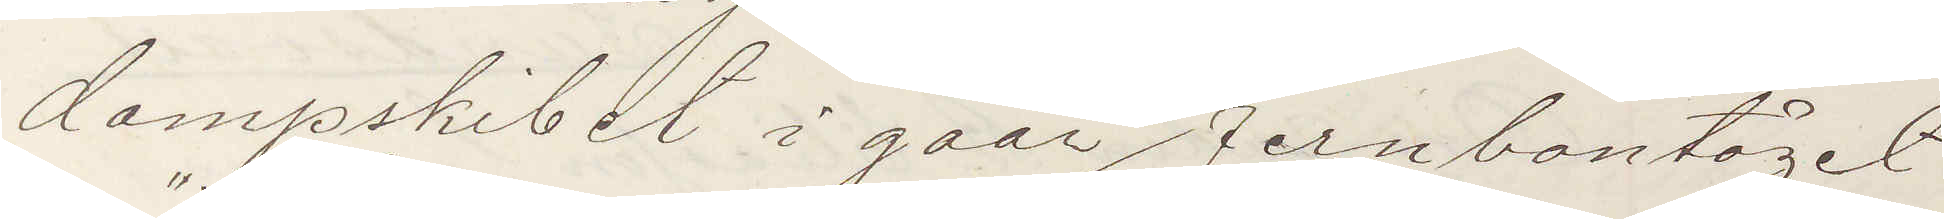dampskibet i gaar Jernbantåget
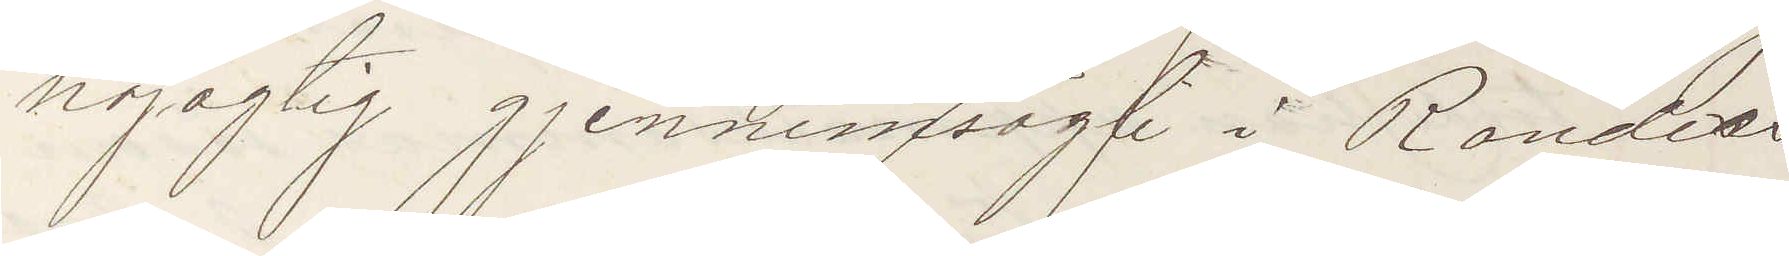nöjagtig gjennemsögt i Randers.
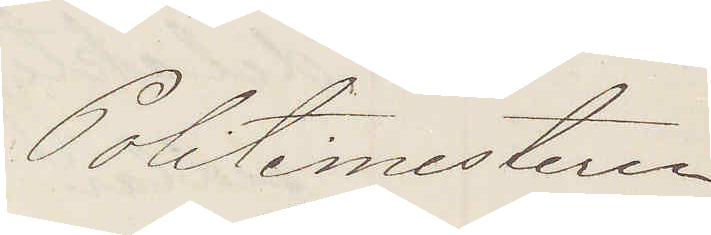Politimesteren
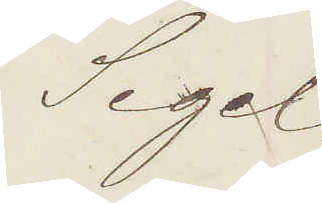Segel.
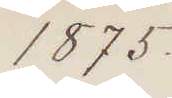1875.
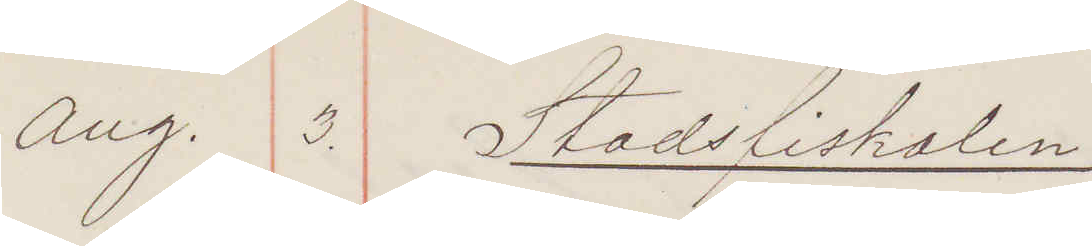Aug. 3. Stadsfiskalen
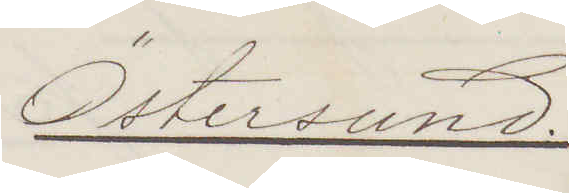Östersund.
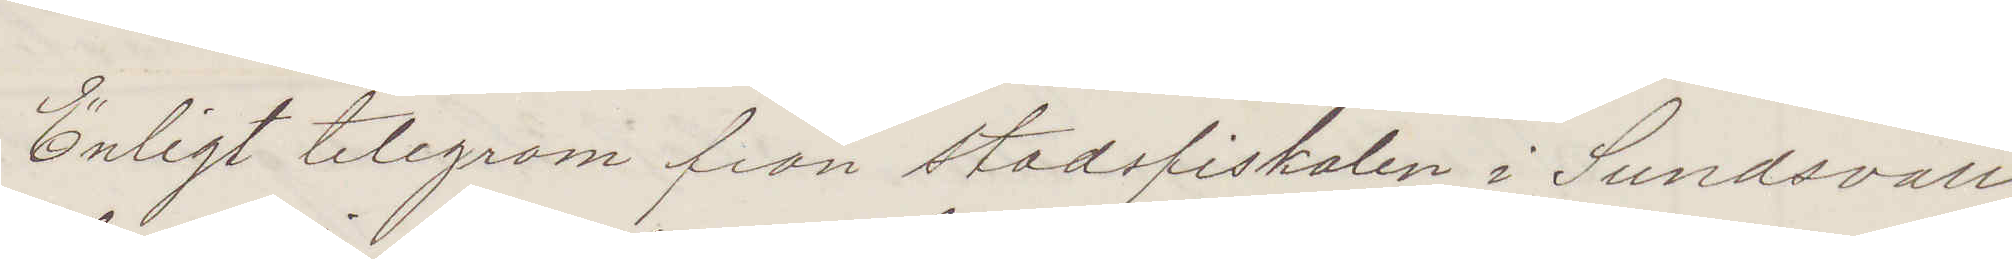Enligt telegram från stadsfiskalen i Sundsvall
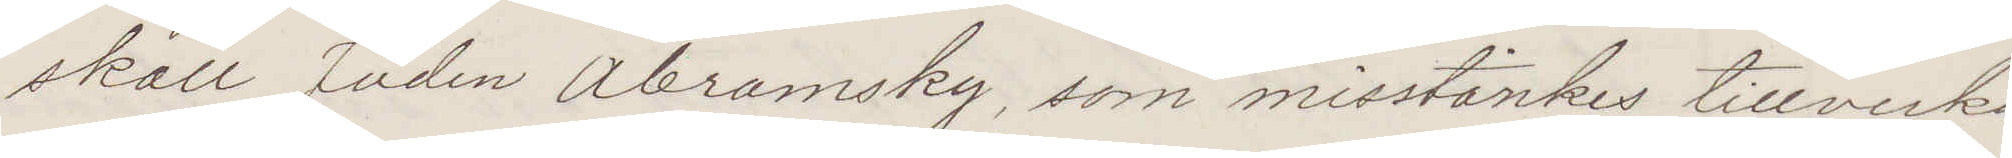skall Juden Abramsky som misstänkes tillverka¬
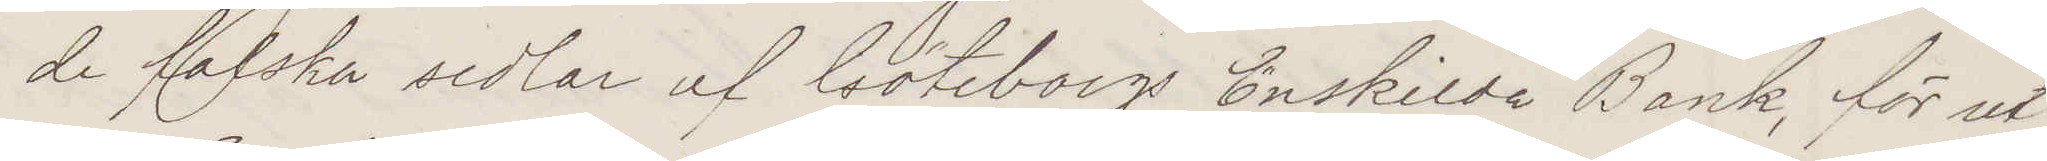de falska sedlar af Göteborgs Enskilda Bank, för ut¬
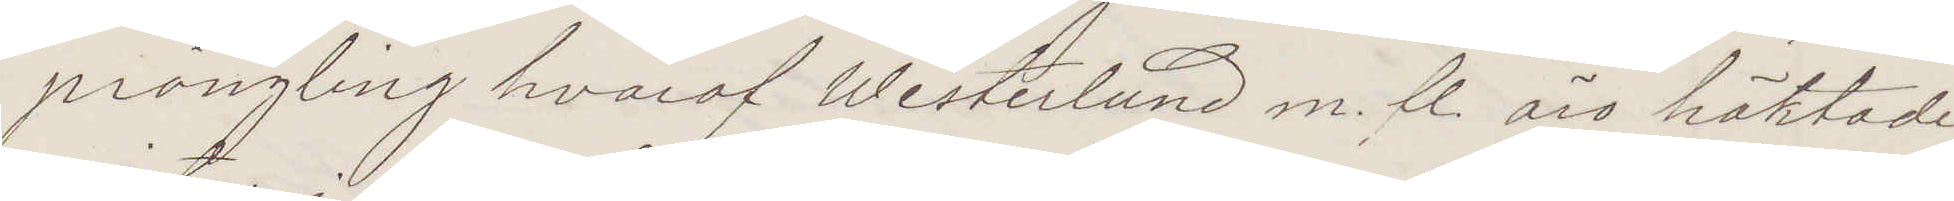prångling hvaraf Westerlund m. fl. äro häktade
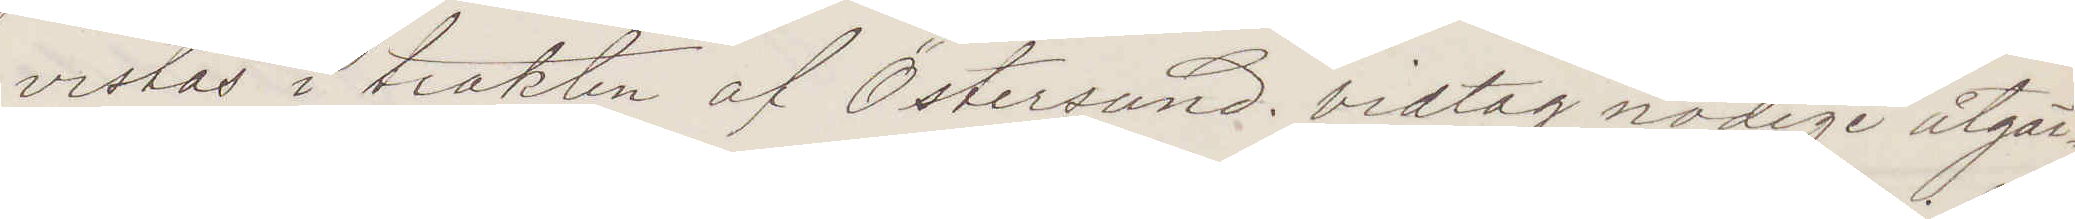vistas i trakten af Östersund. vidtag nödige åtgär¬
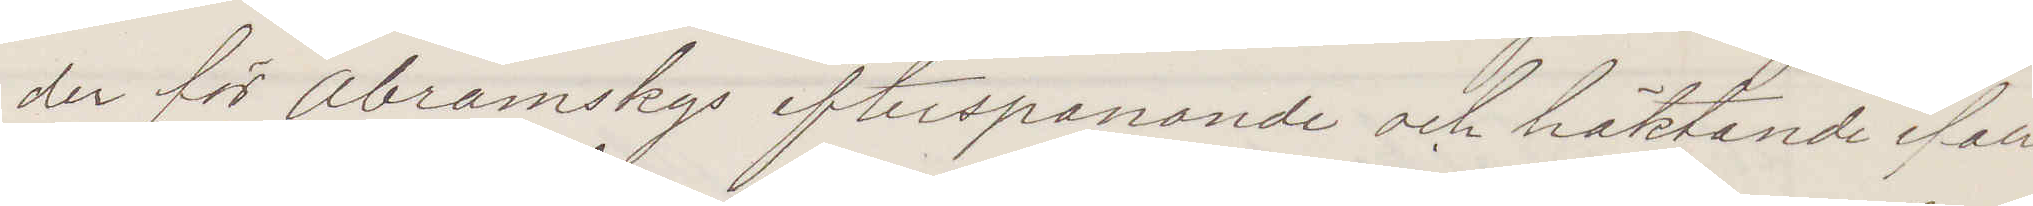der för Abramskys efterspanande och häktande ifall
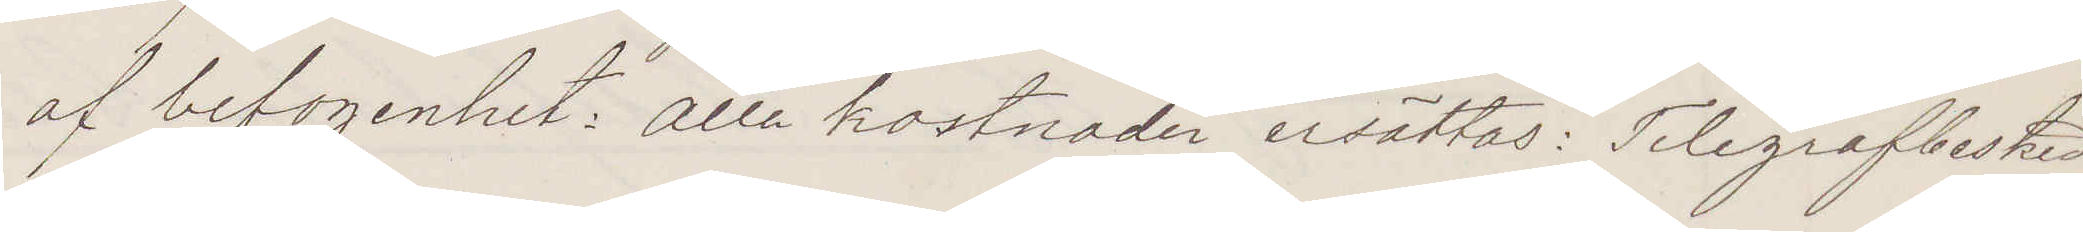af befogenhet: Alla kostnader ersättas: Telegrafbesked
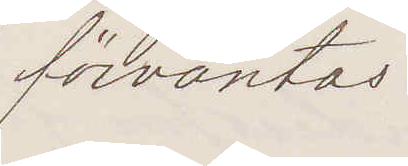förväntas:
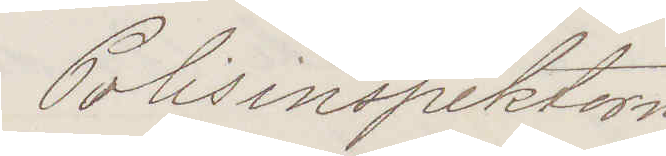Polisinspektorn
